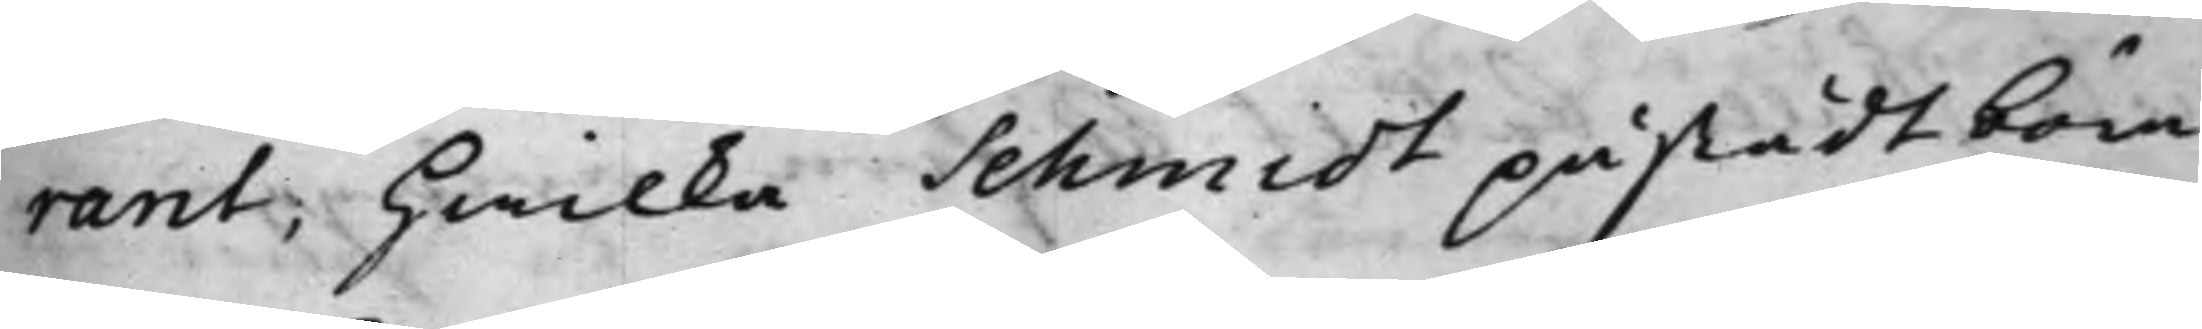rant; hwilka Schmidt påstådt böra
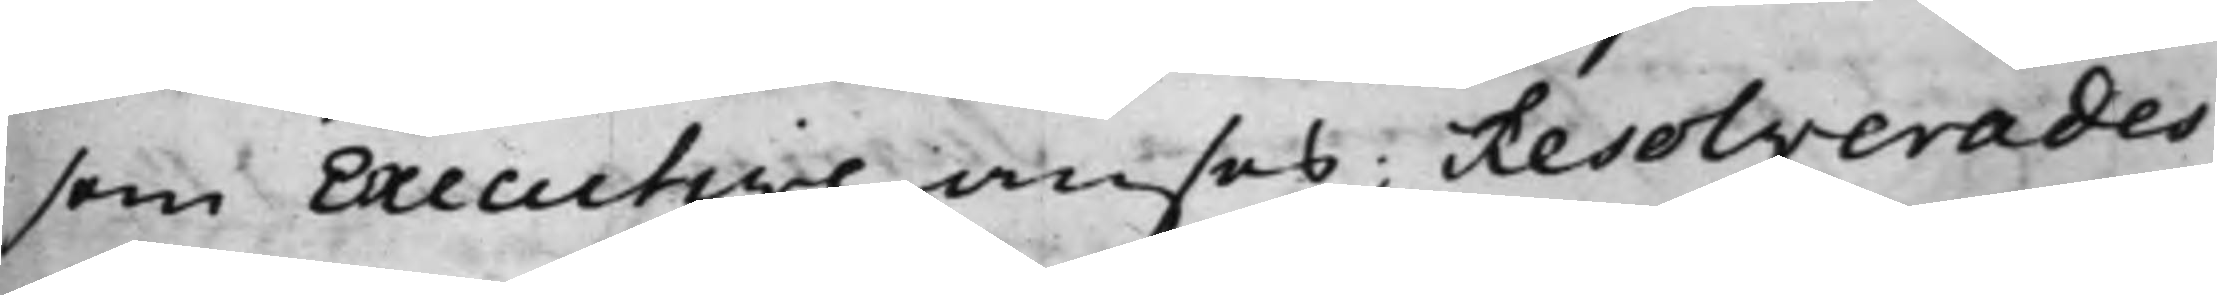som Executive anses; Resolverades
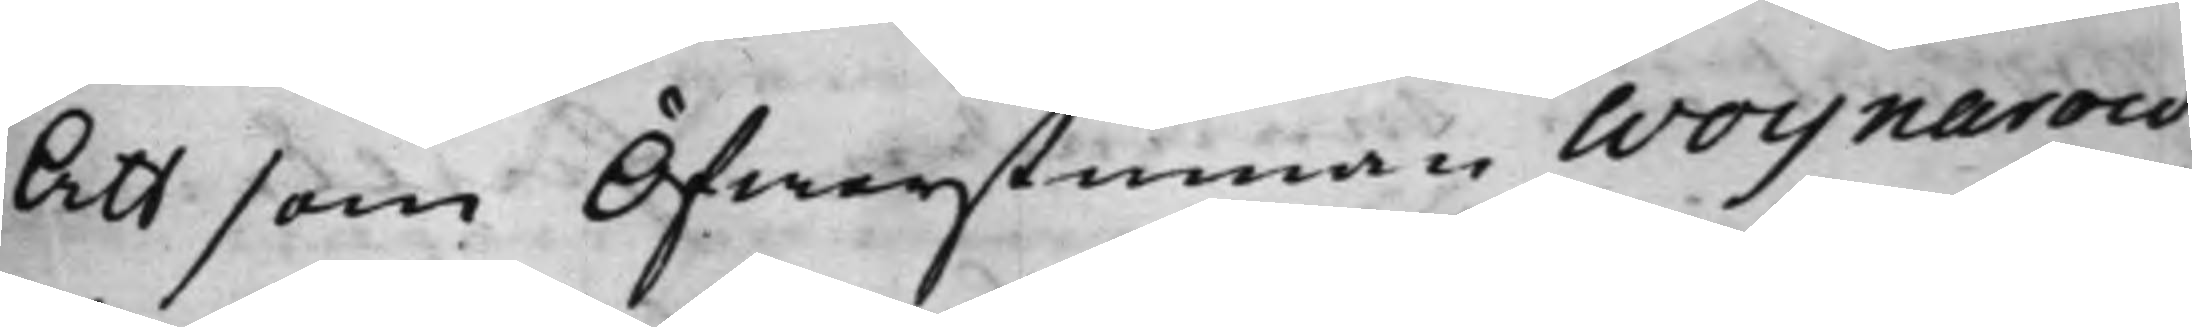Att som Öfwerstinnan Woynarow¬
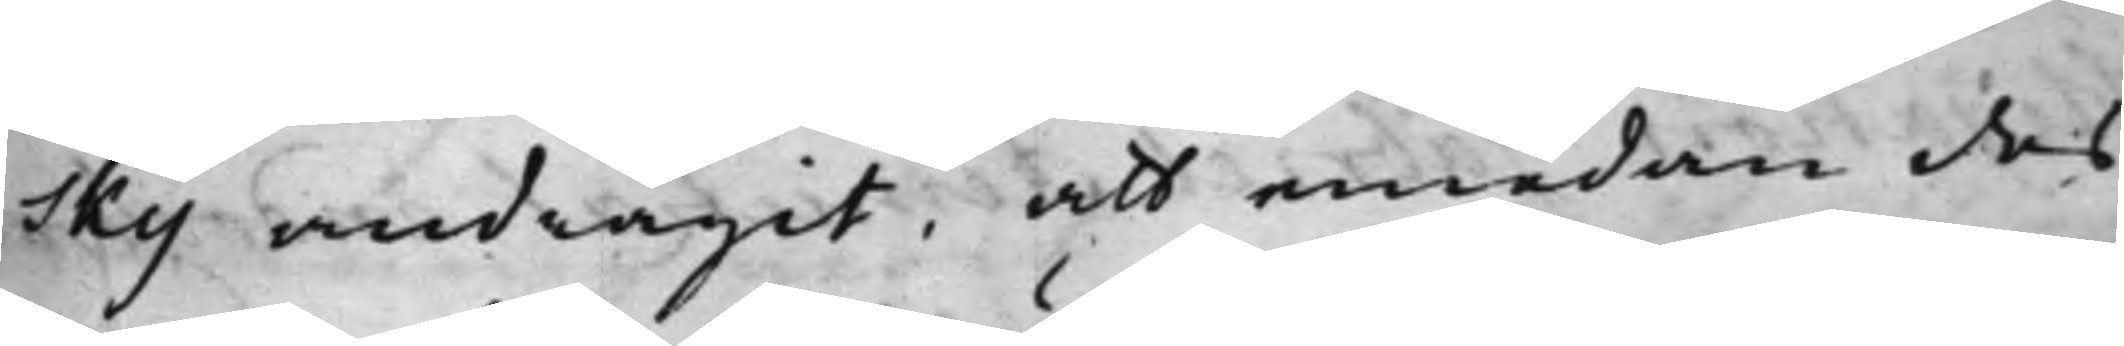sky andragit, att emedan des
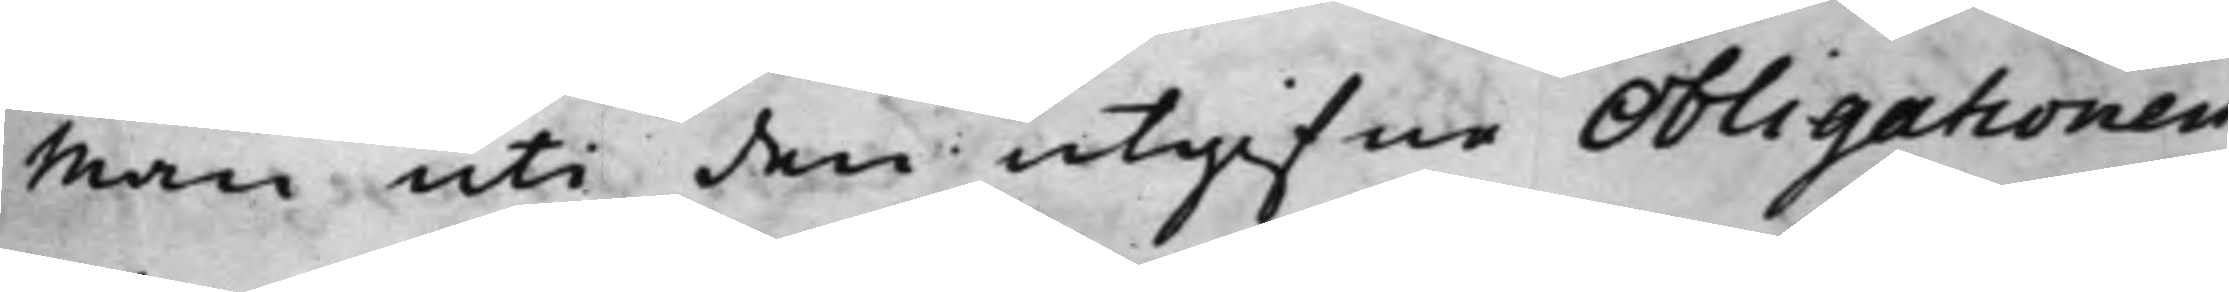man uti den utgifne Obligationen
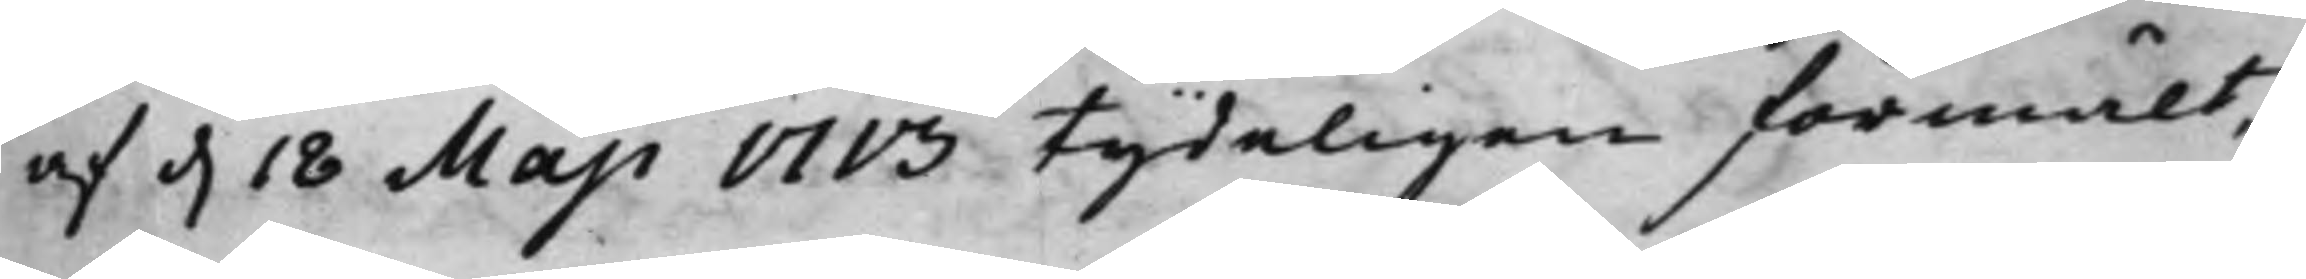af d. 18 Maji 1713 tydeligen förmält,
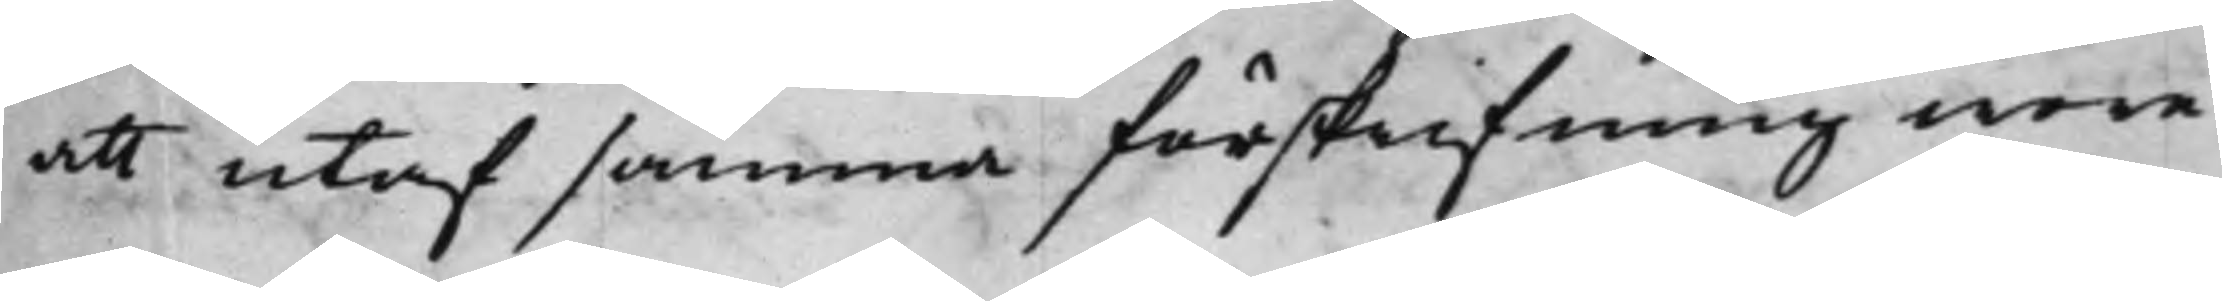att utaf samma förskrifning wore
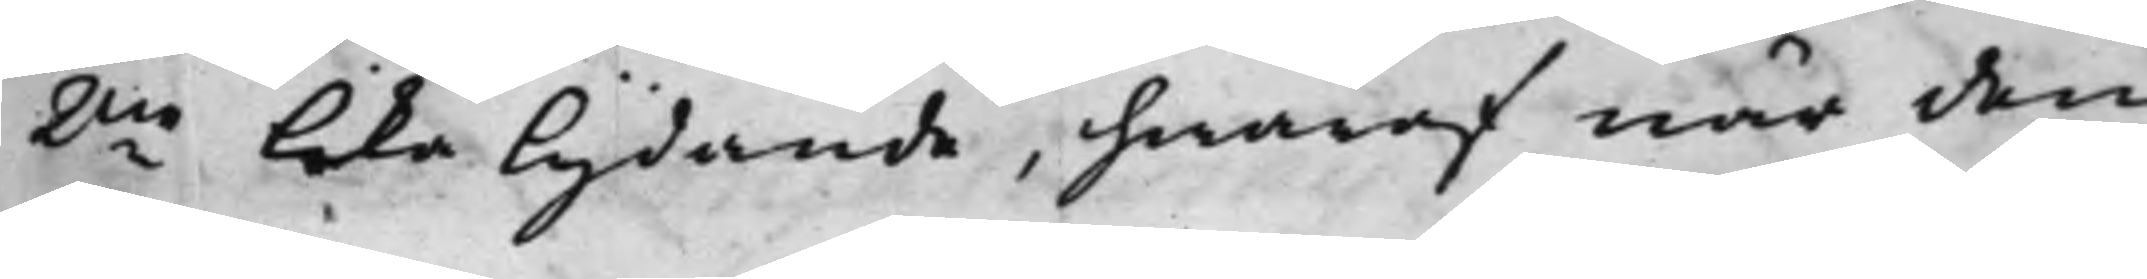2ne lika lydande, hwaraf när den
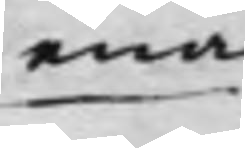ena
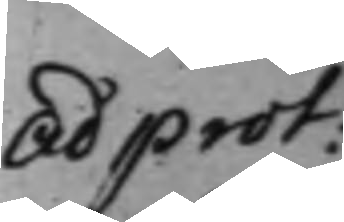ad prot:
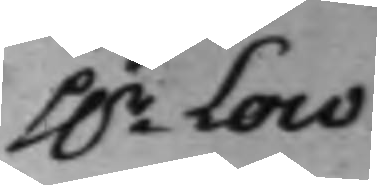H.r Low.
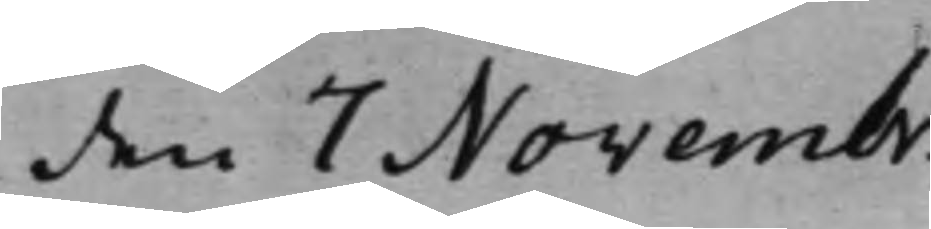den 7 Novembr.
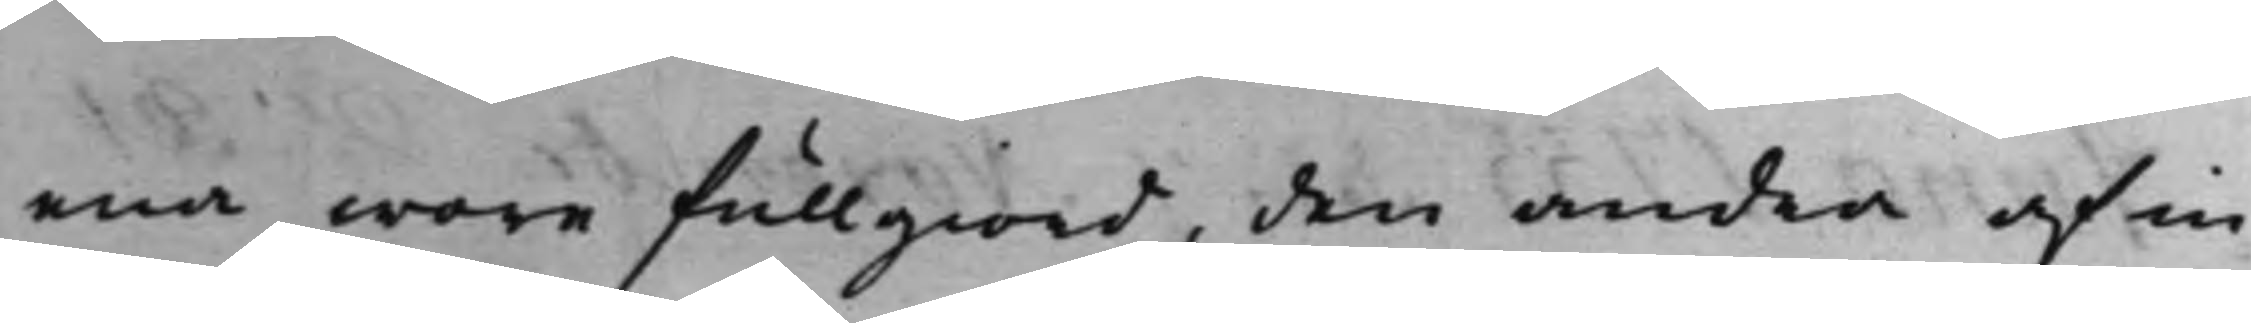ena wore fullgiord, den andra af in¬
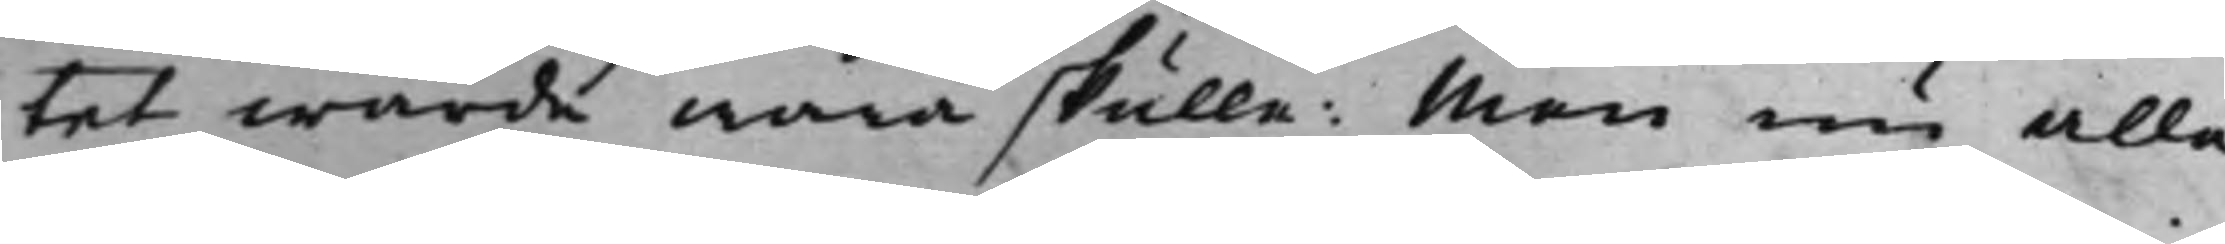tet wärde wara skulle: Men nu alle¬
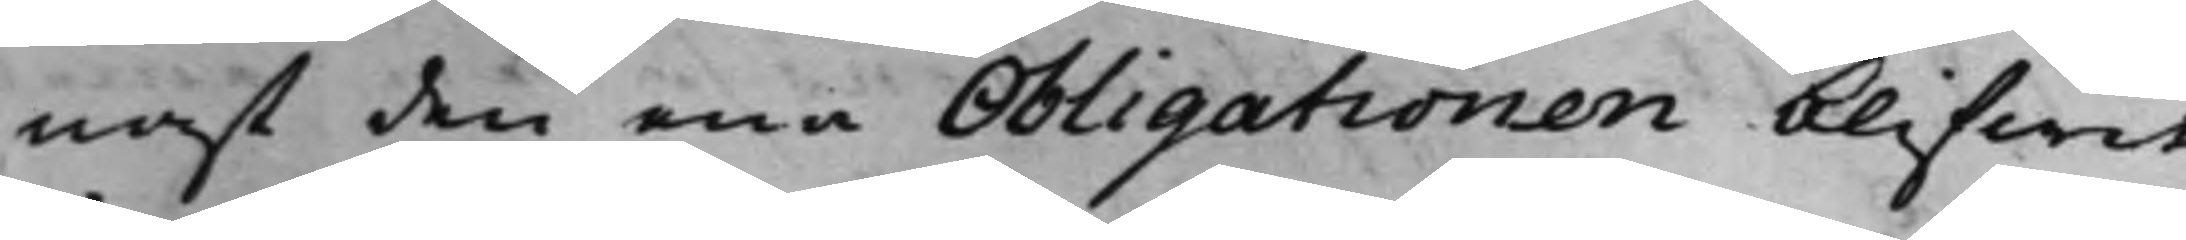nast den ena Obligationen blifwit
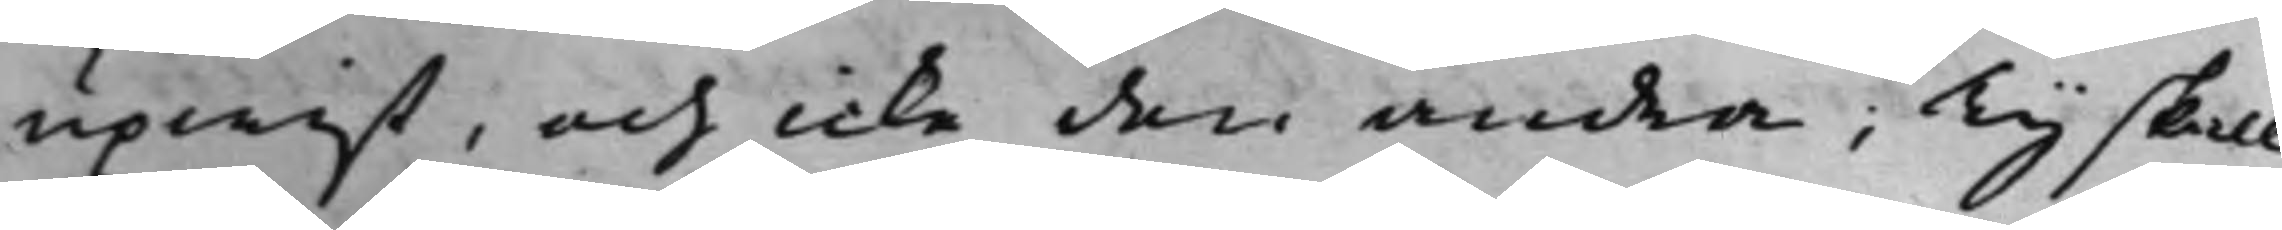upwist, och icke den andra; Ty skall
